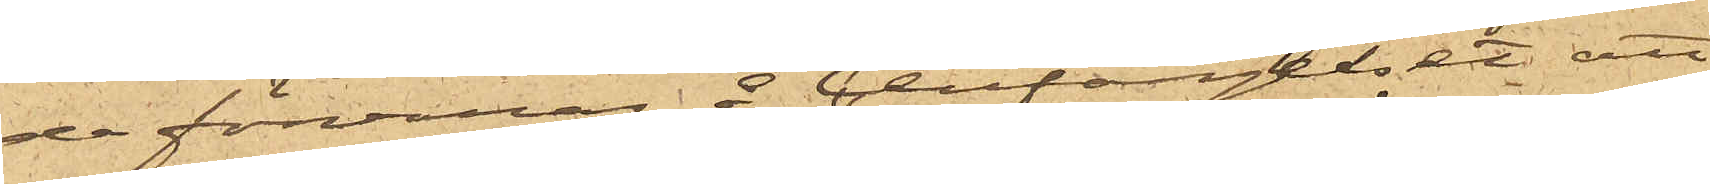de förvaras å Cellfängelset, att
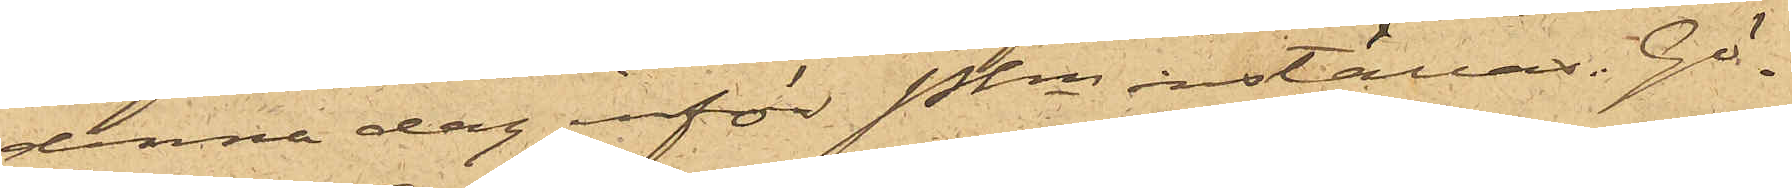denna dag inför Pkn inställas. Gö¬
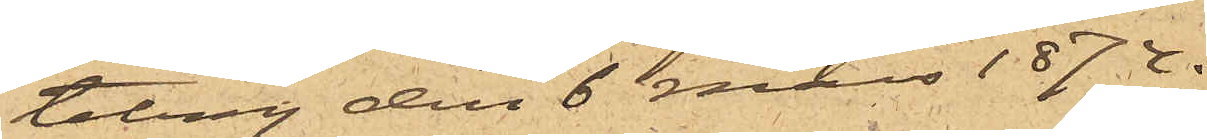teborg den 6 Mars 1874.
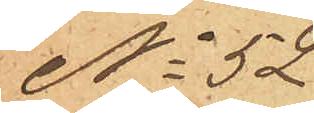No 52
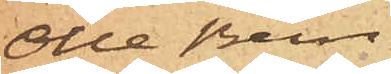Olle Bern¬
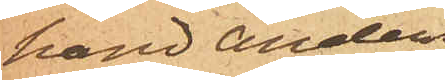hard Anders¬
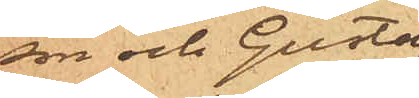son och Gustaf
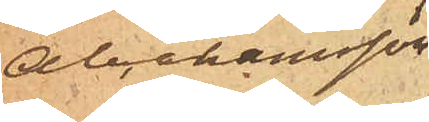Abrahamsson
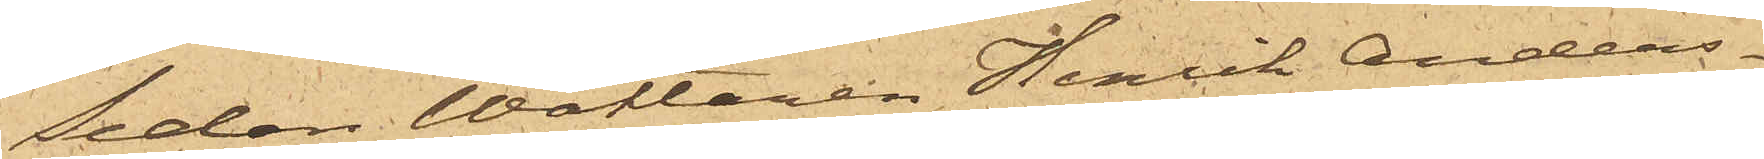Sedan Wäktaren Henrik Anders¬
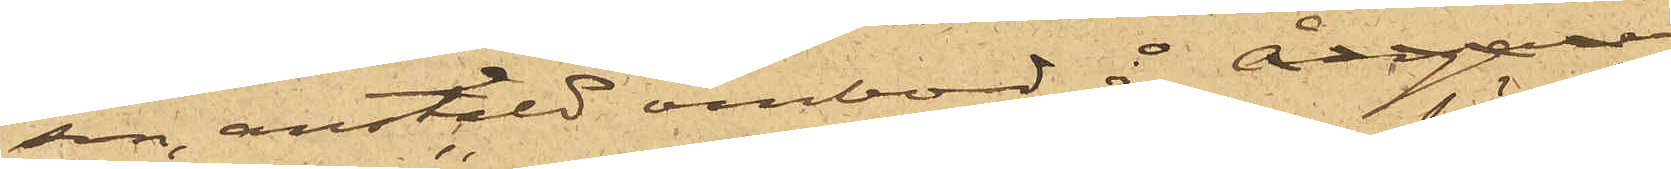son, anstäld ombord å Ångaren
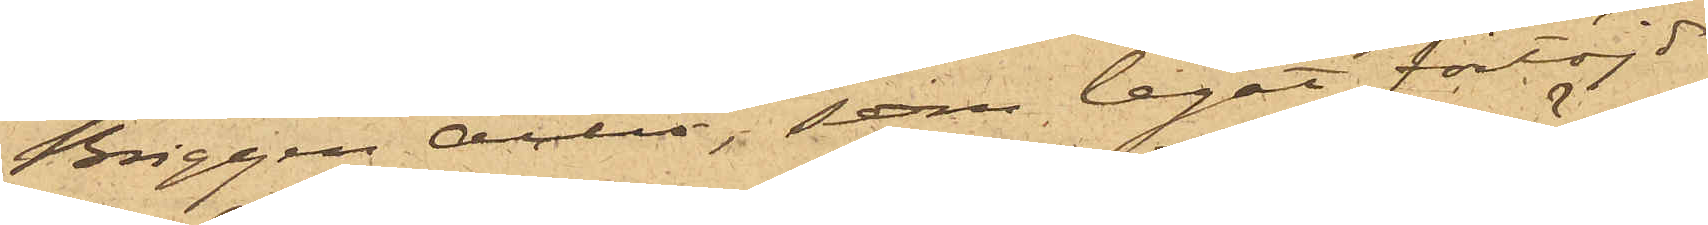Briggen "Active", som legat förtöjd
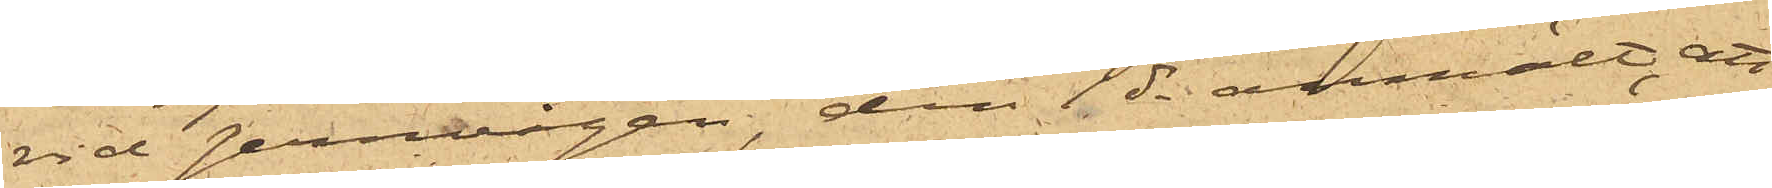vid Jernvågen, den 1 ds anmält, att
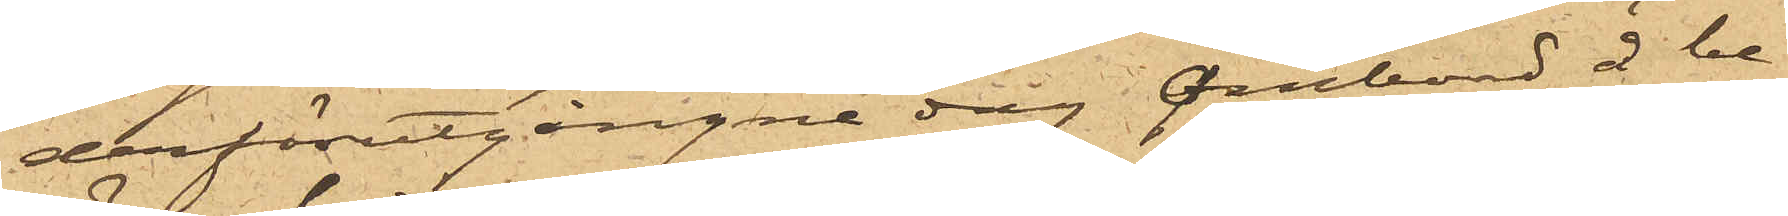derförutgångne dag ombord å be¬
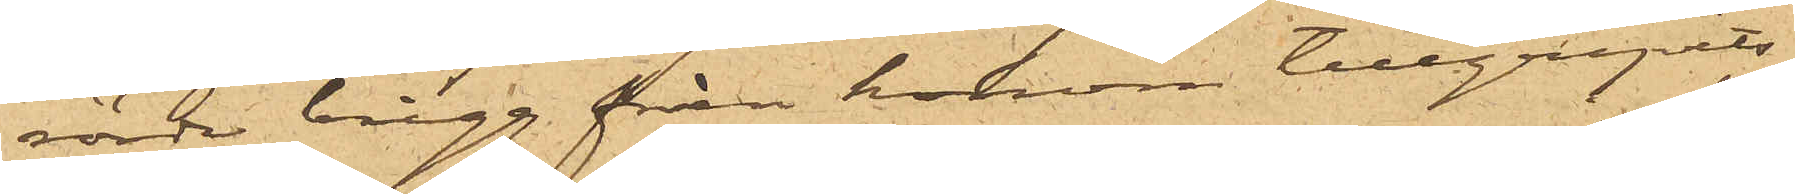rörde brigg från honom tillgripits
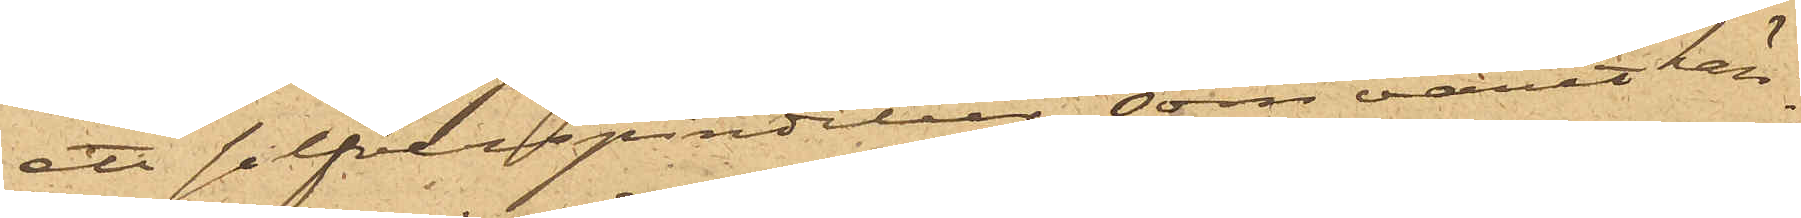ett silfverspindelur, som varit hän¬
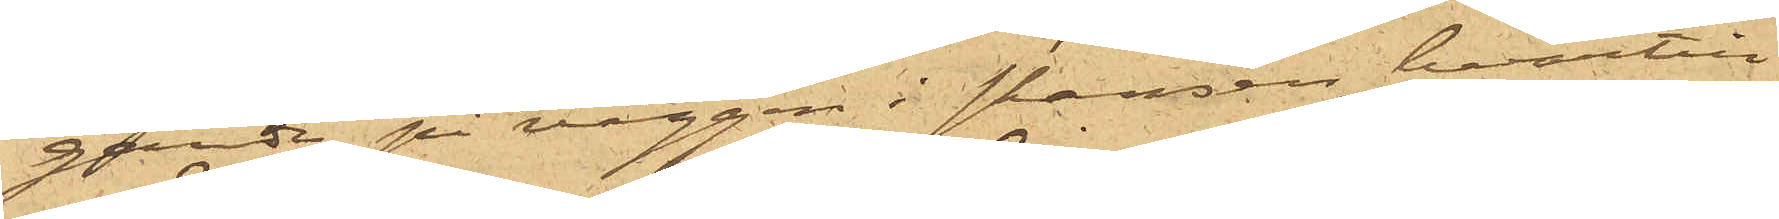gande på väggen i skansen, hvartill
